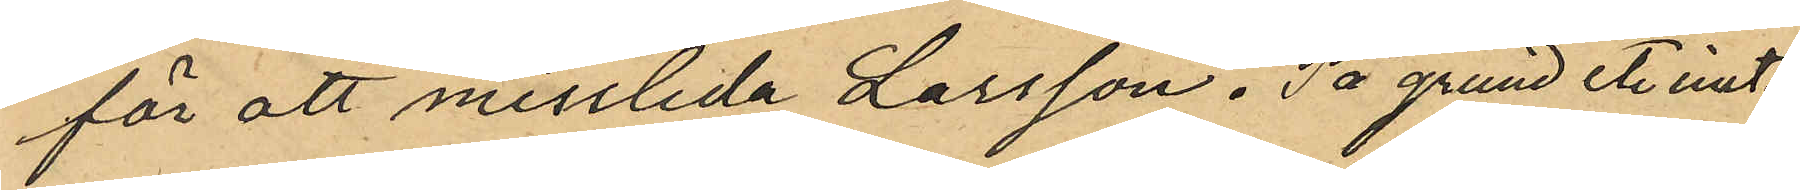för att missleda Larsson. På grund et. inst.
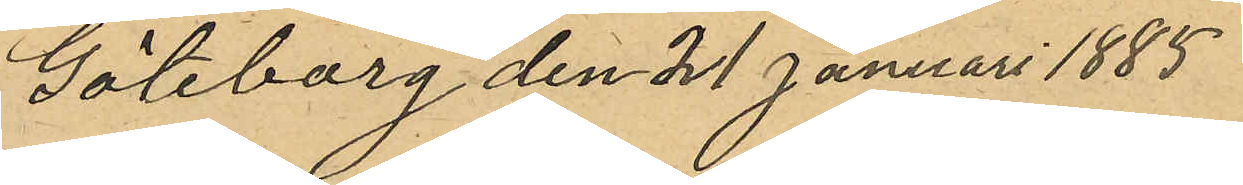Göteborg den 21 Januari 1885
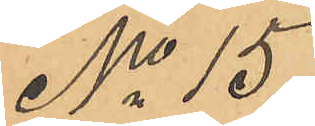No 15
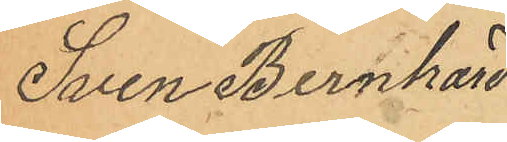Sven Bernhard
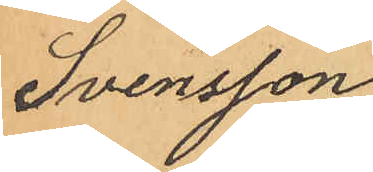Svensson
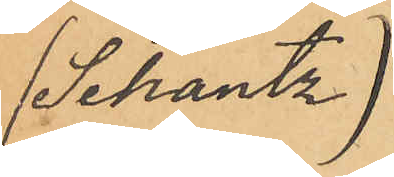(Schantz)
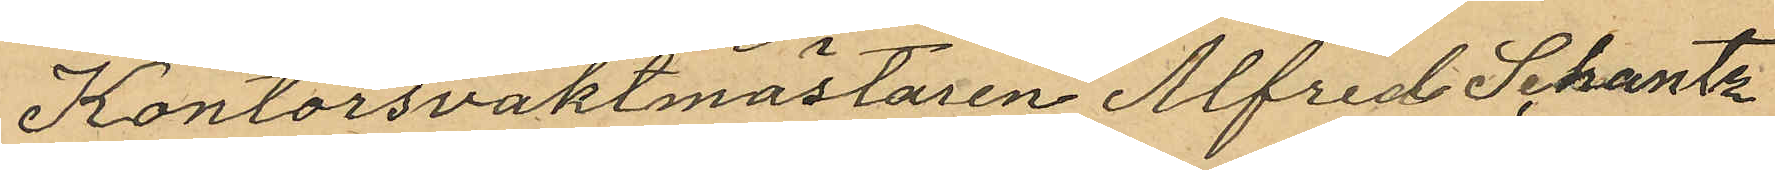Kontorsvaktmästaren Alfred Schantz
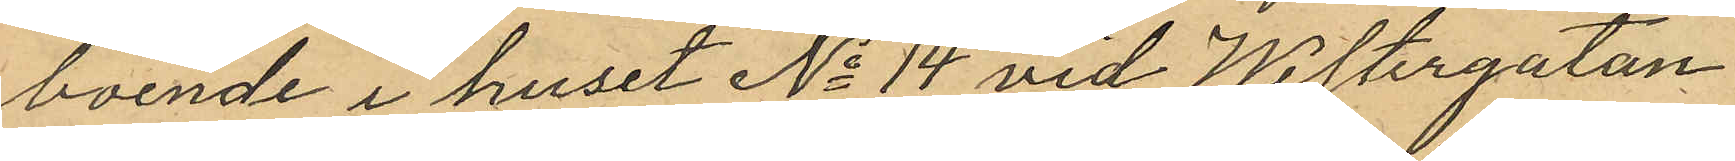boende i huset No 14 vid Westergatan
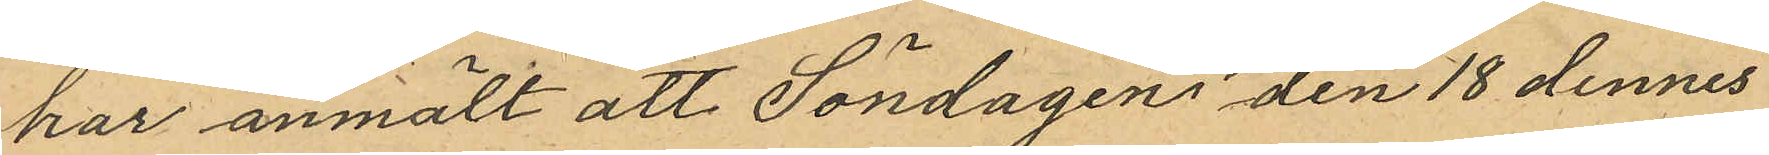har anmält att Söndagen den 18 dennes
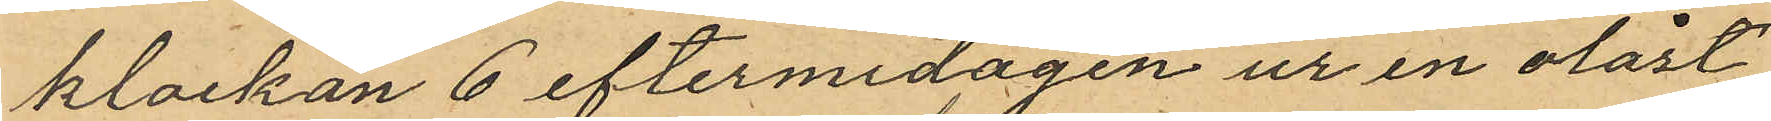klockan 6 eftermidagen ur en olåst
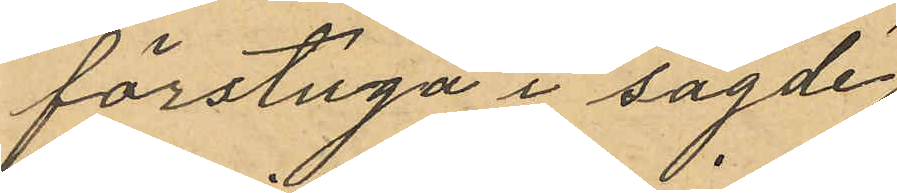förstuga i sagde
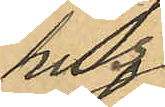hus
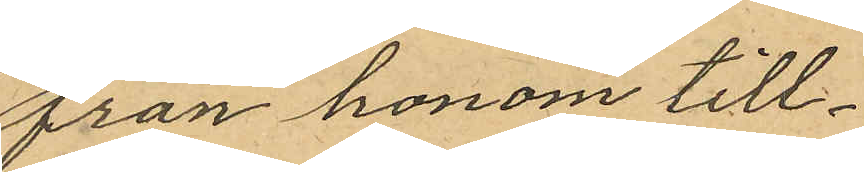från honom till¬
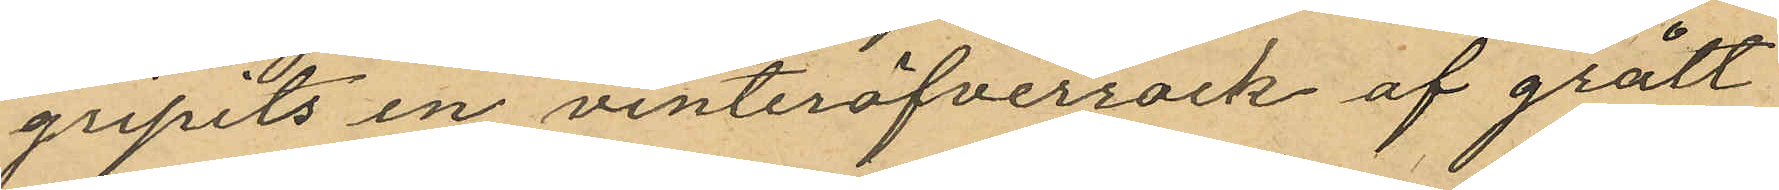gripits en vinteröfverrock af grått
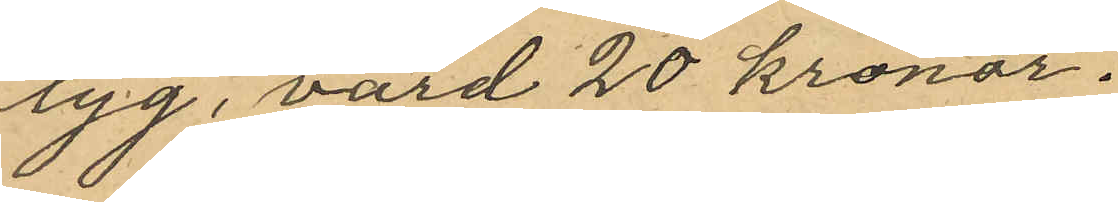tyg, värd 20 kronor.
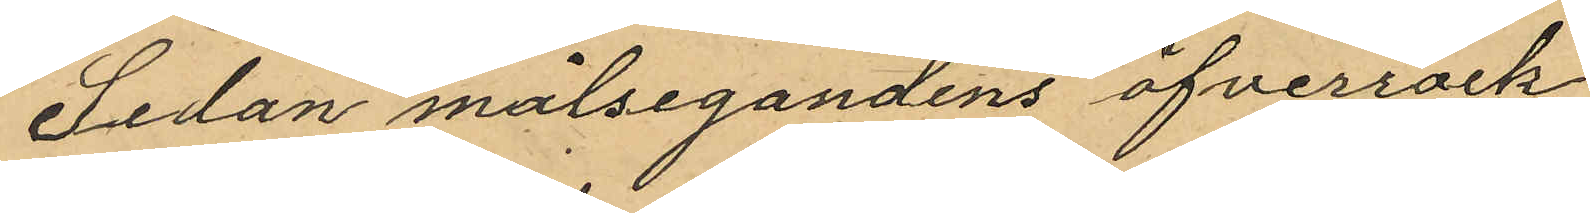Sedan målsegandens öfverrock
